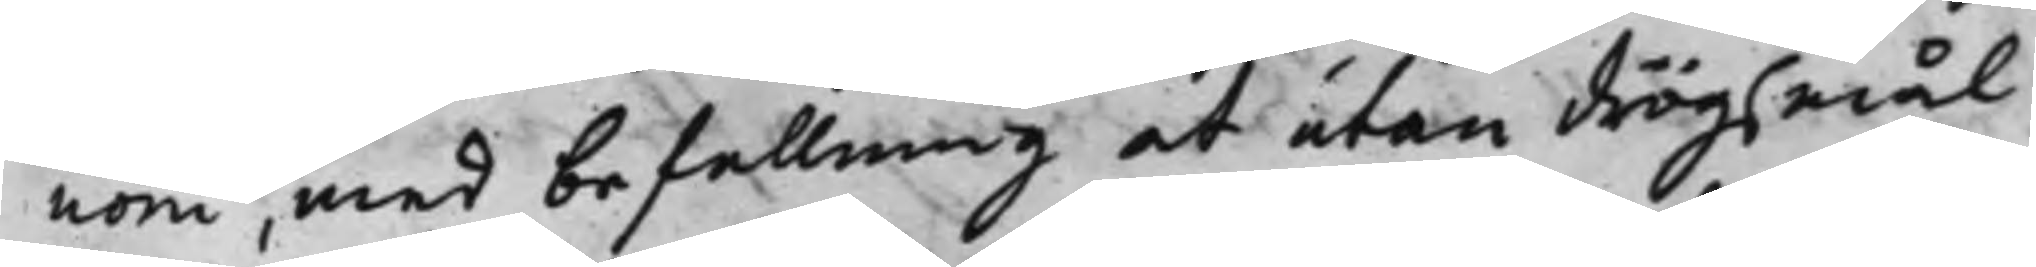nom, med befallning at utan drögsmål
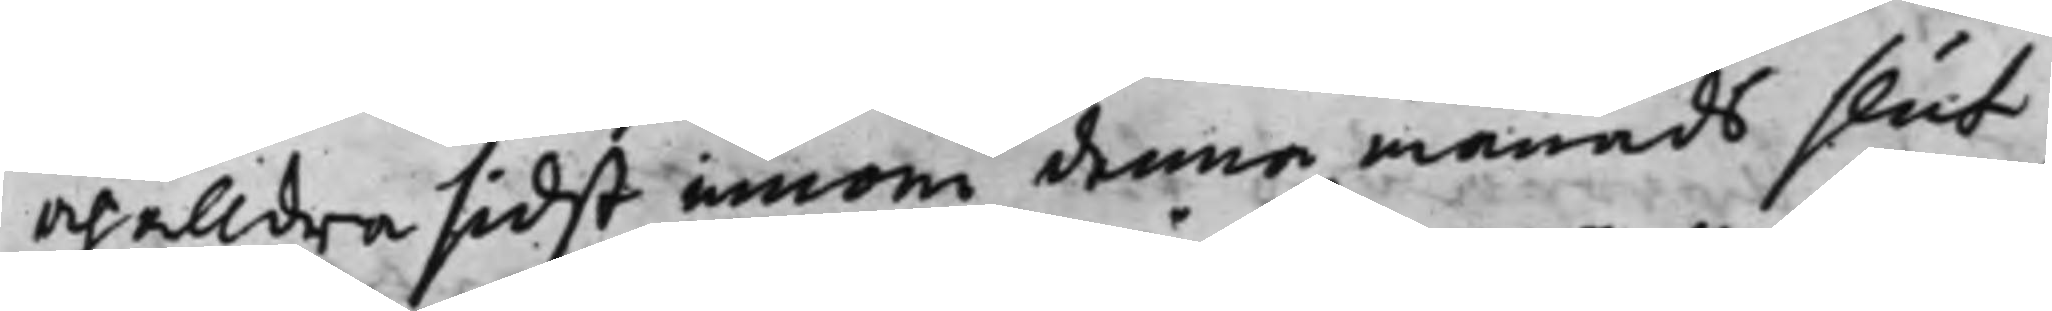och alldra sidst innom denna månads slut
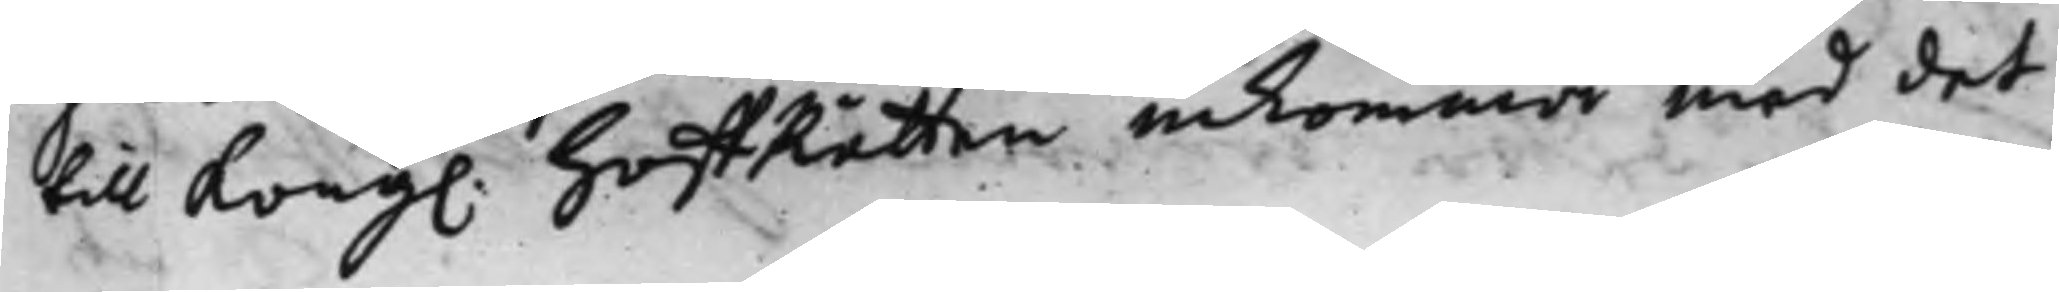till Kong. HoffRätten inkomma med det
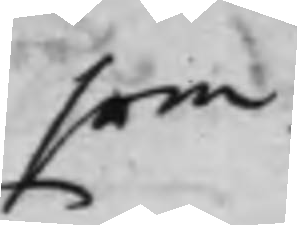som
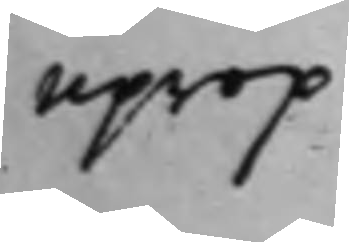Uprop
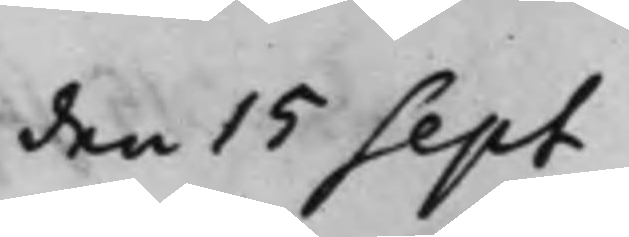den 15 Sept
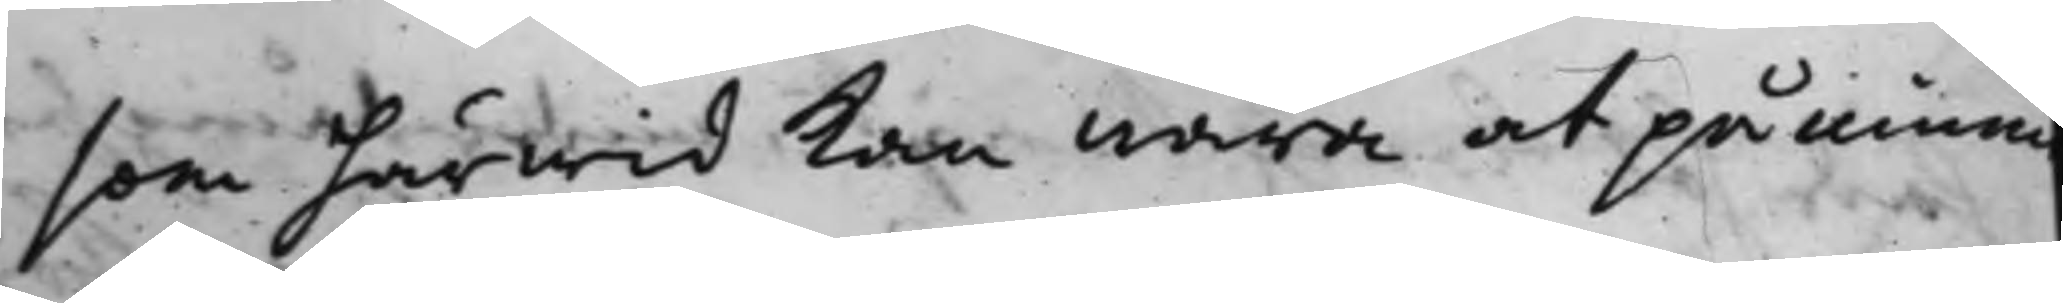som härwid kan wara at påminna
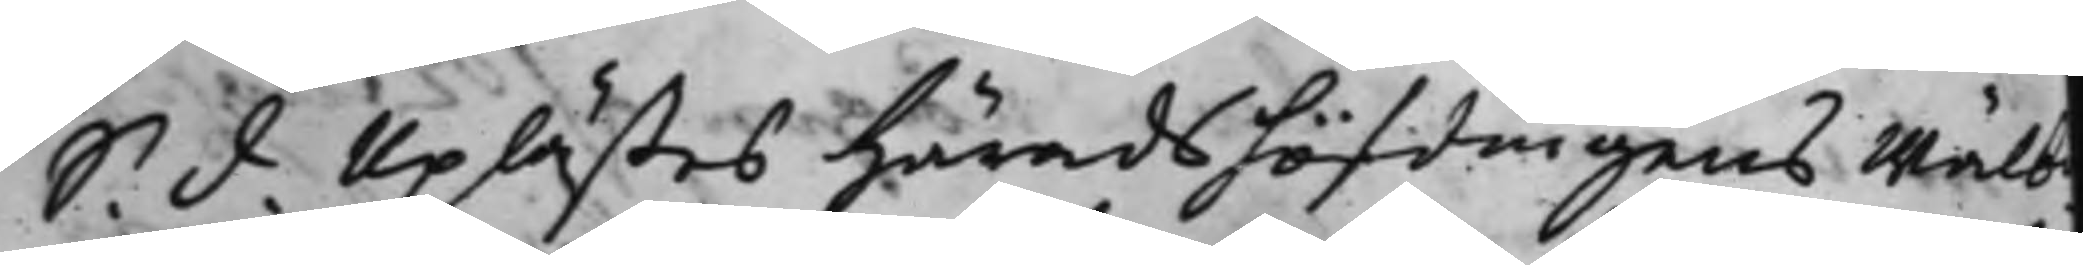S. d. Uplästes Häradshöfdingens Wälb.
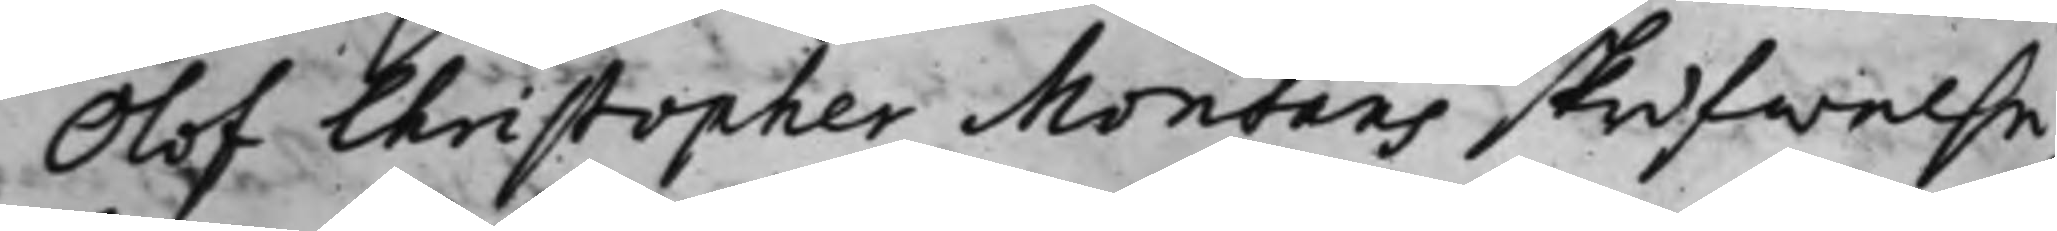Olof Christopher Montans skrifwelse
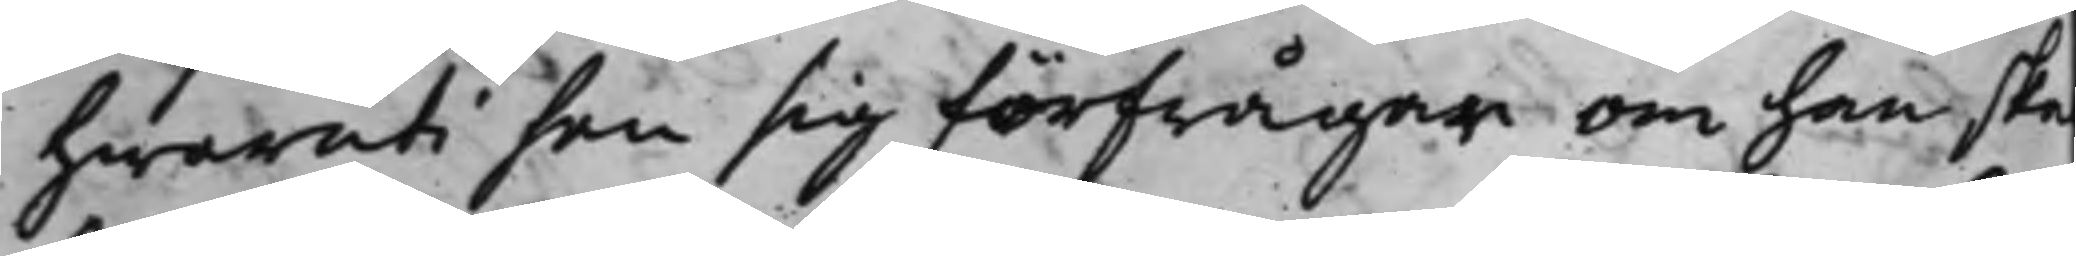hwaruti han sig förfrågar om han ska
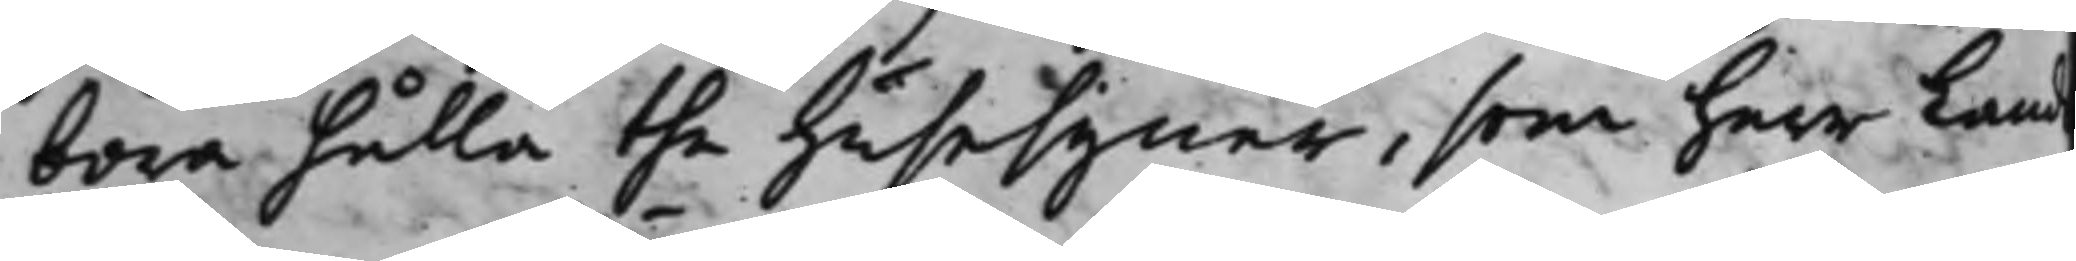böra hålla the husesyner, som herr Lands¬
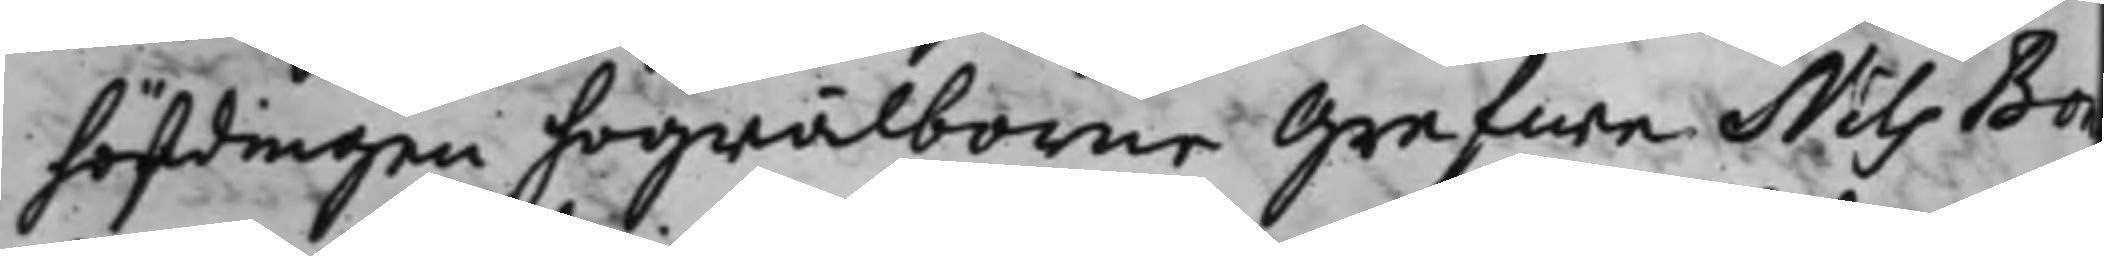höfdingen högwälborne grefwe Nils Bon¬
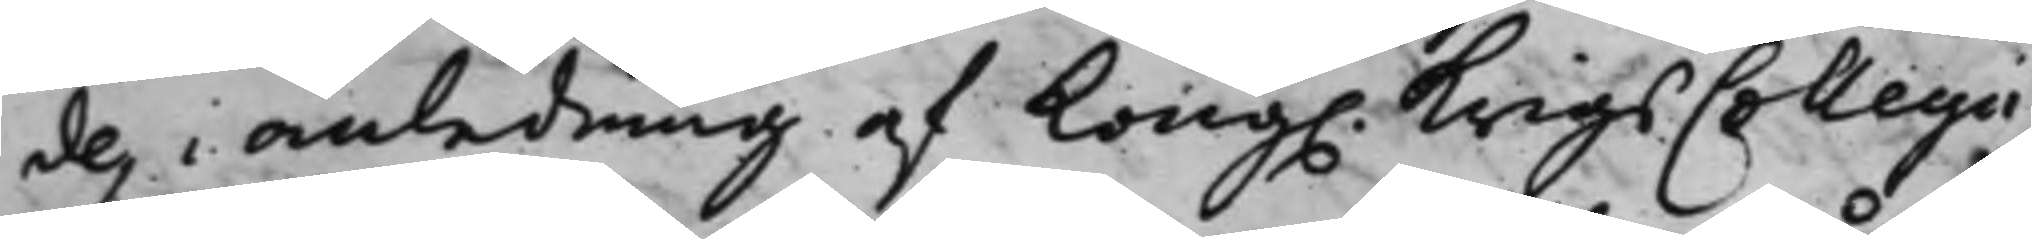des i anledning af Kong. KrigsCollegii
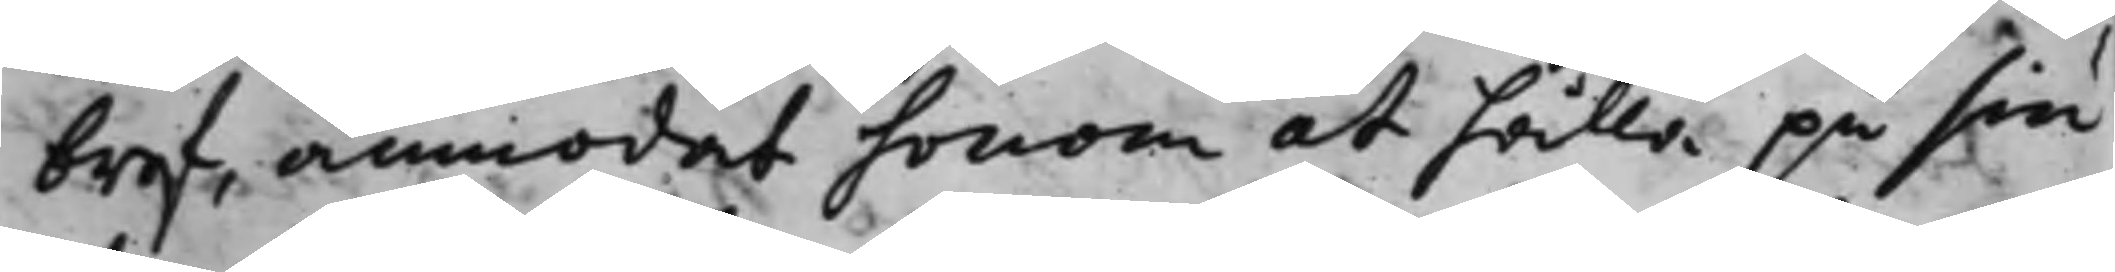bref, anmodat honom at hålla på sin
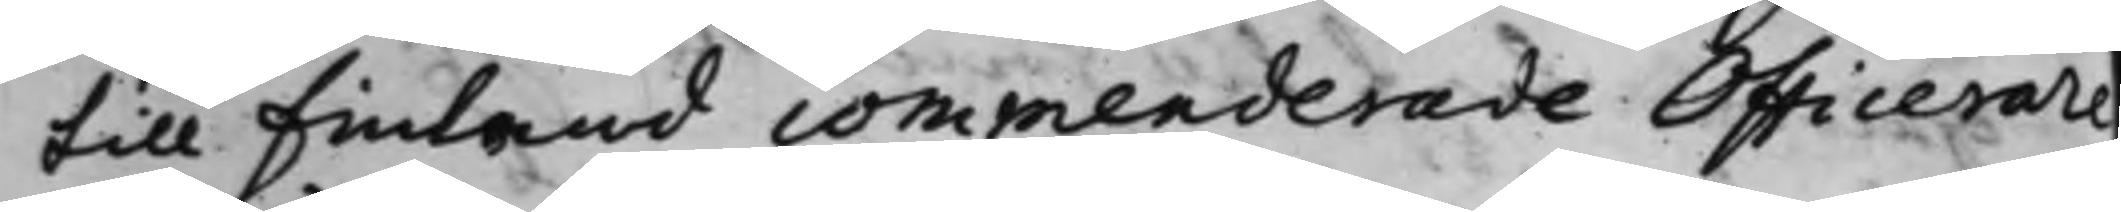till Finland commenderade Officerare
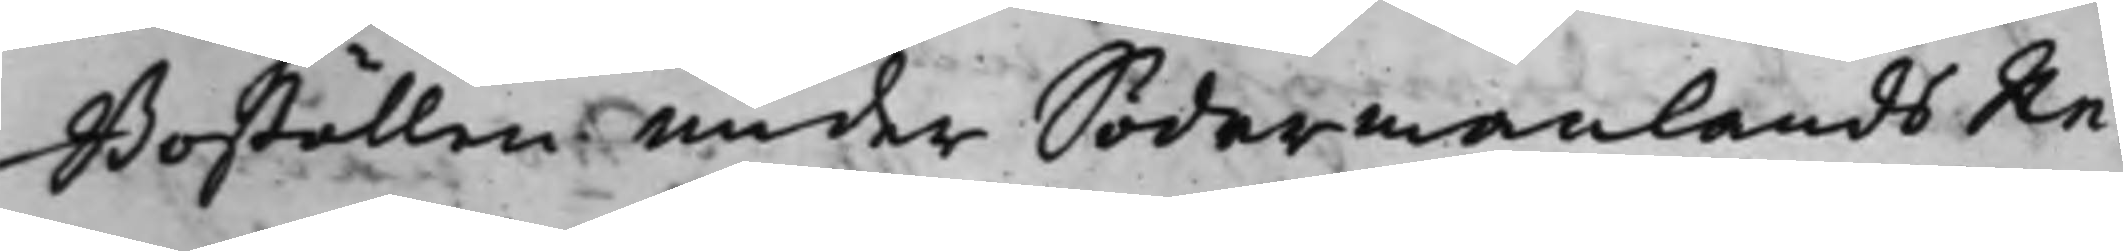Boställen under Södermanlands Re¬
